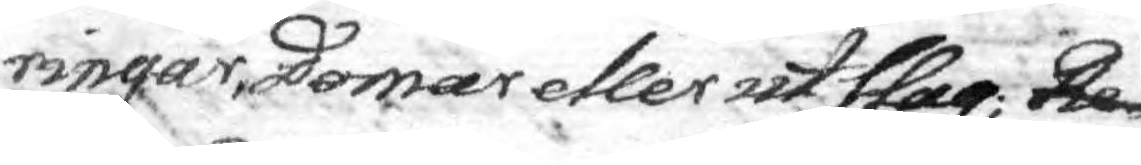ringar, domar eller utslag; Re
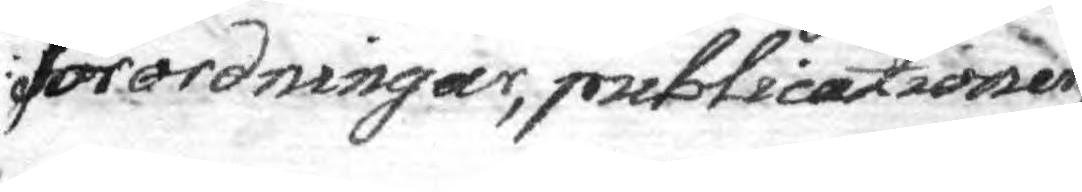förordningar, publicationer,
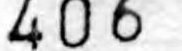406
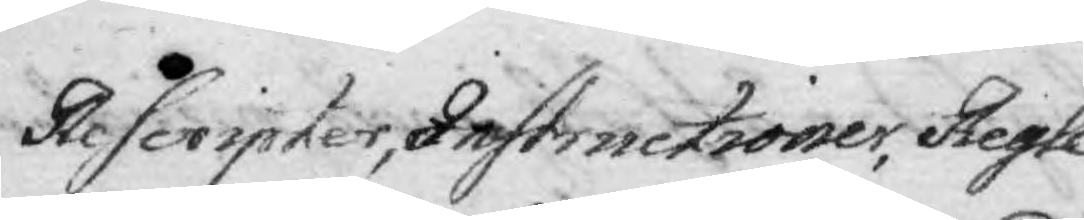Rescripter, Instructioner, Regle¬
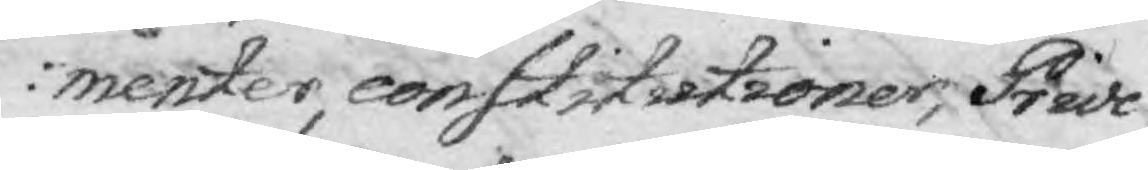menter, constitutioner, Privi¬
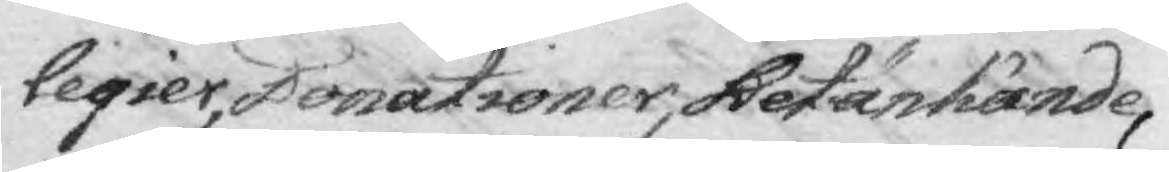legier, Donationer, Betänkande,
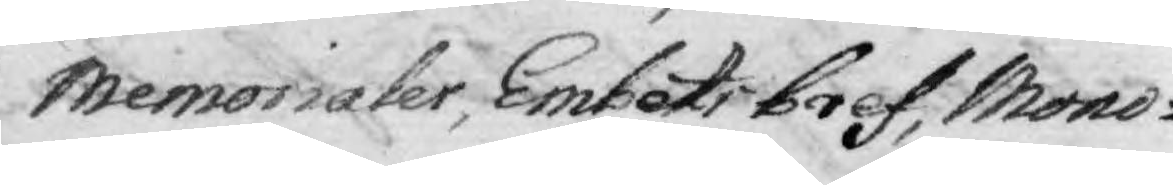Memorialer, Embets bref, Mono¬
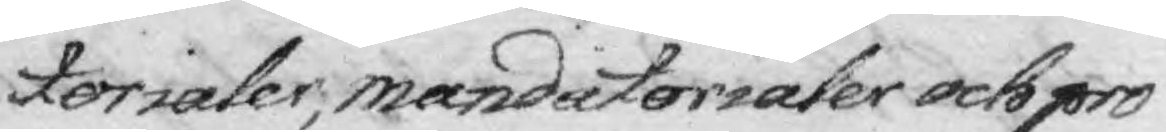torialer, manditorialer och pro¬
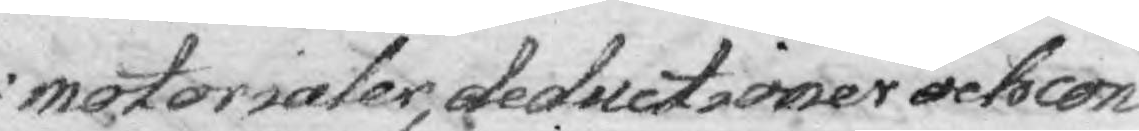motorialer, deductioner och con¬
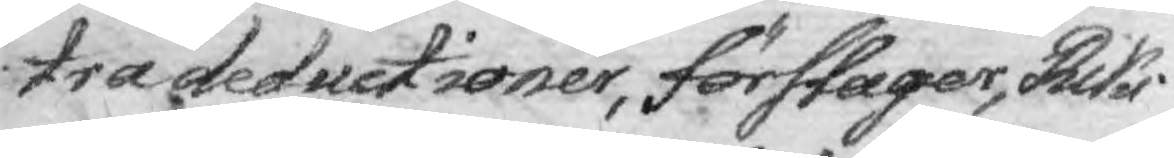tradeductioner, förslager, Riks¬
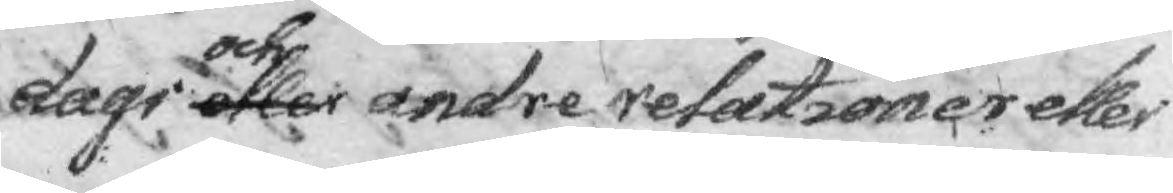dagi och andre relationer eller
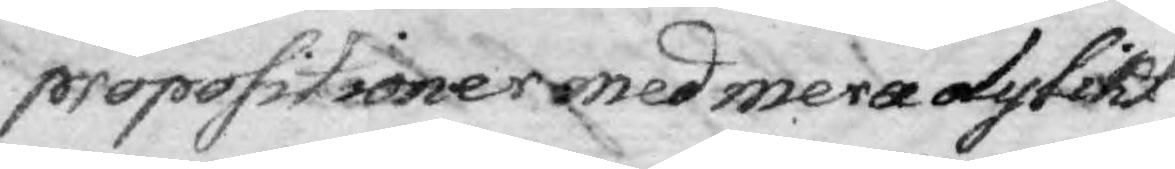propositioner med mera dylikt
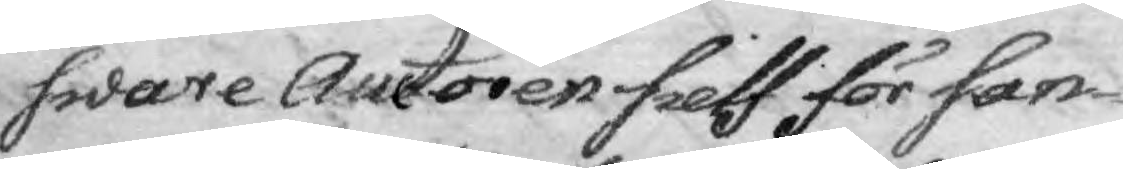sware Auctoren sielf för san¬
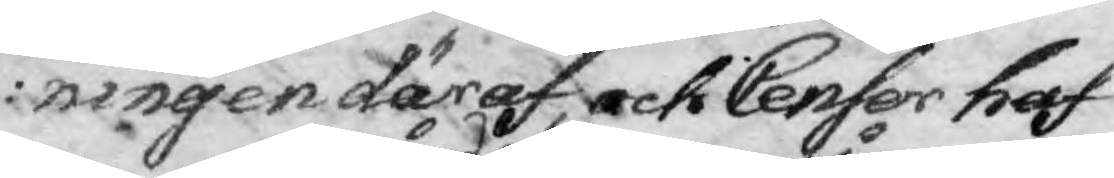ningen däraf, och Censor haf¬
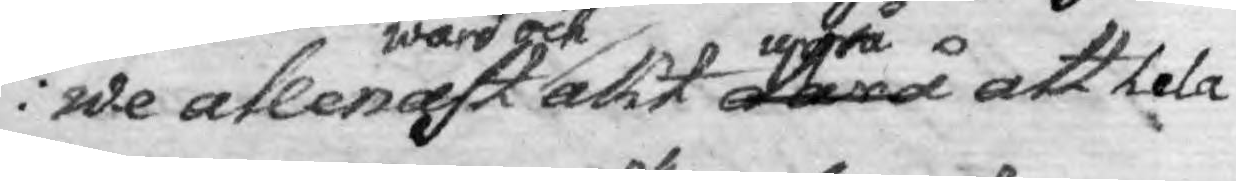we allenast wård och akt därå uppå att hela
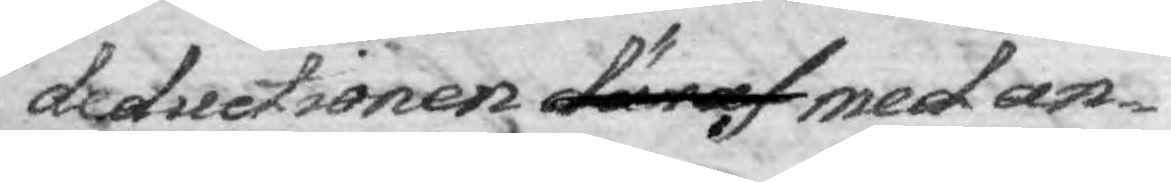deductionen däraf med an¬
